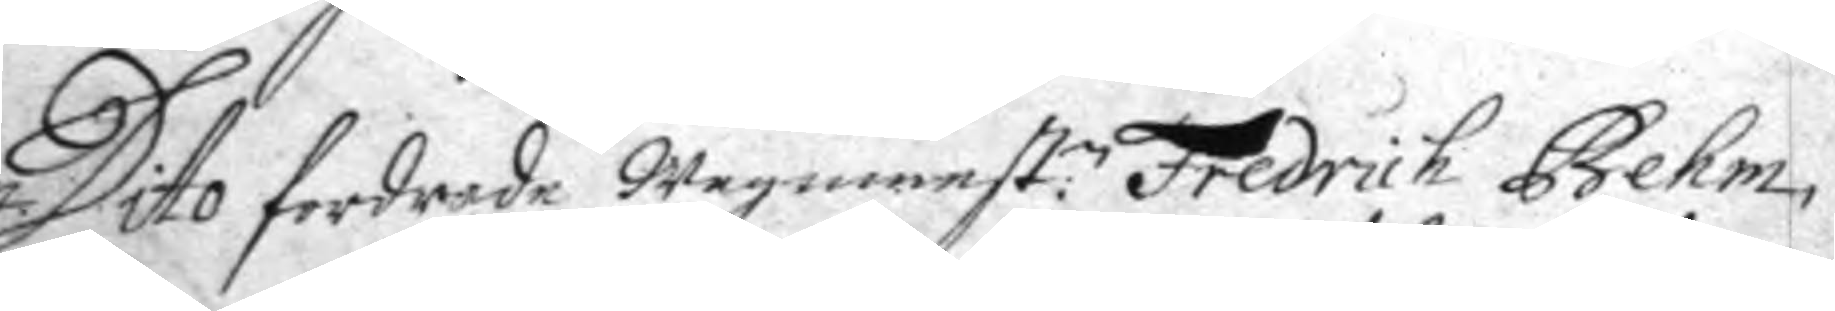Dito fordrade wagnmest:n Fredrich Behm,
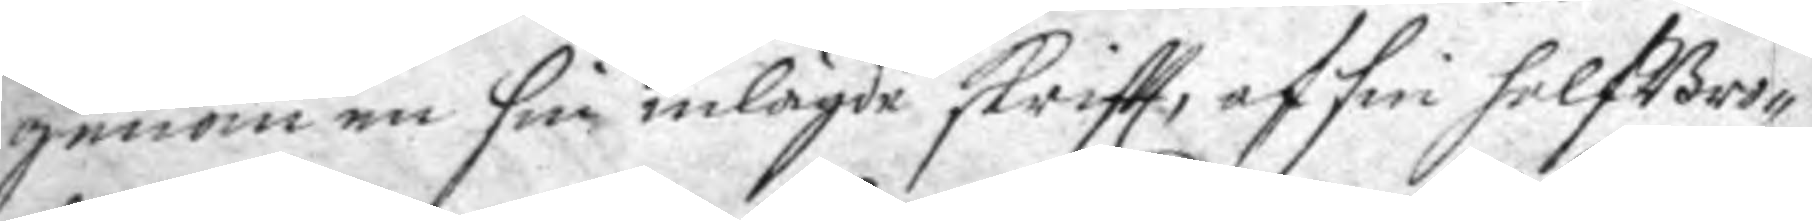genom en sin inlagde skriftt, af sin halfBro¬
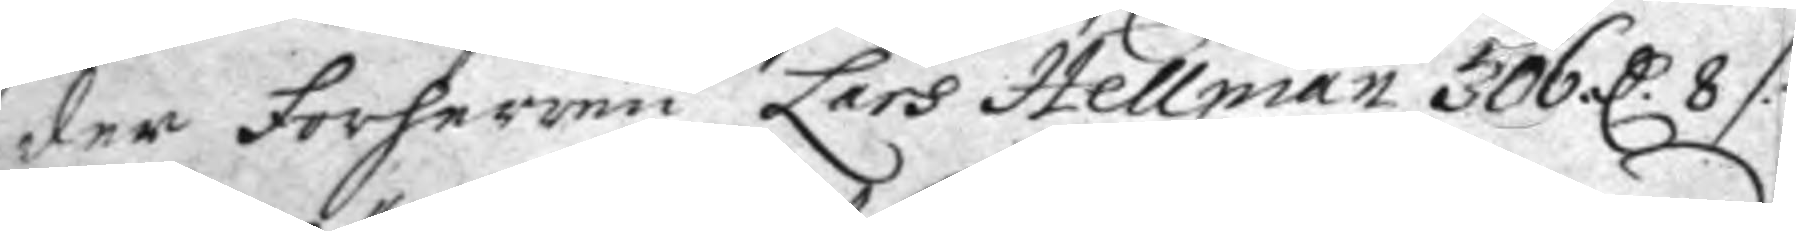der Forherren Lars Hellman 306 C. 8 /:
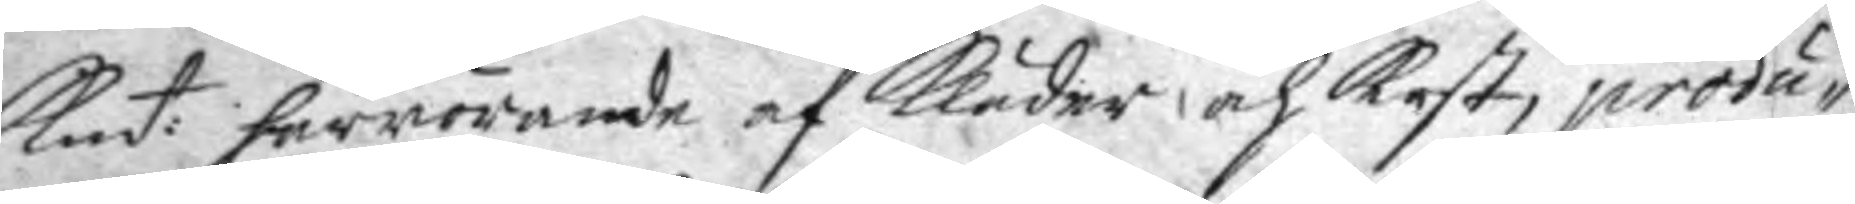Kmt: härrörande af kläder och kost, produ¬
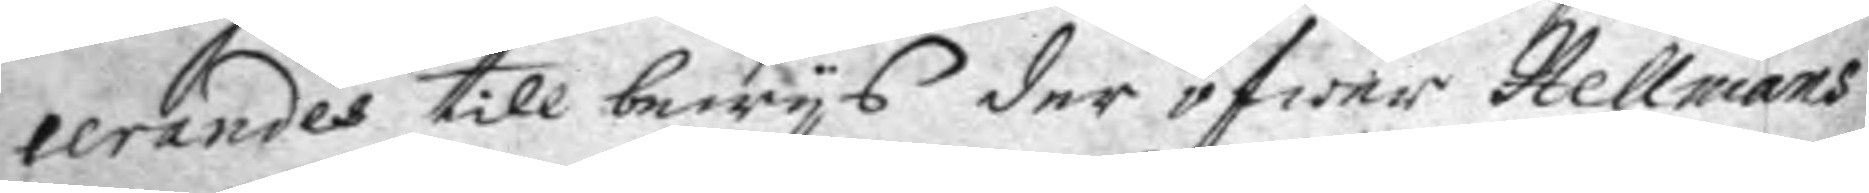cerandes till bewys der öfwer Hellmans
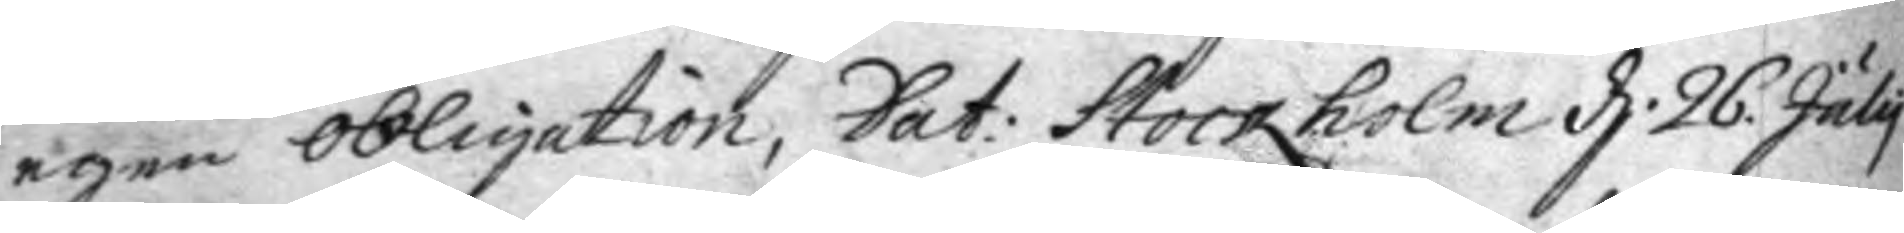egen obligation, Dat: Stockholm d. 26 July
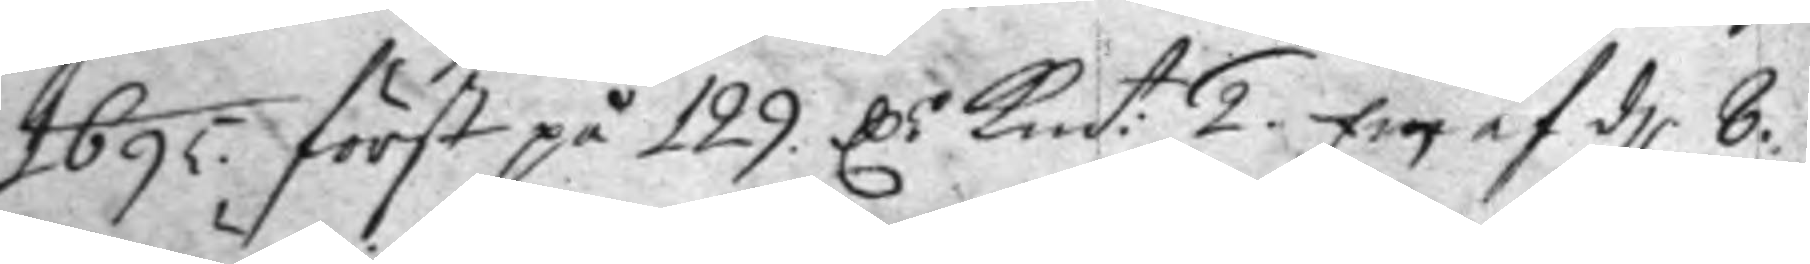1695 först på 129. C:r kmt: 2. En af d 8.
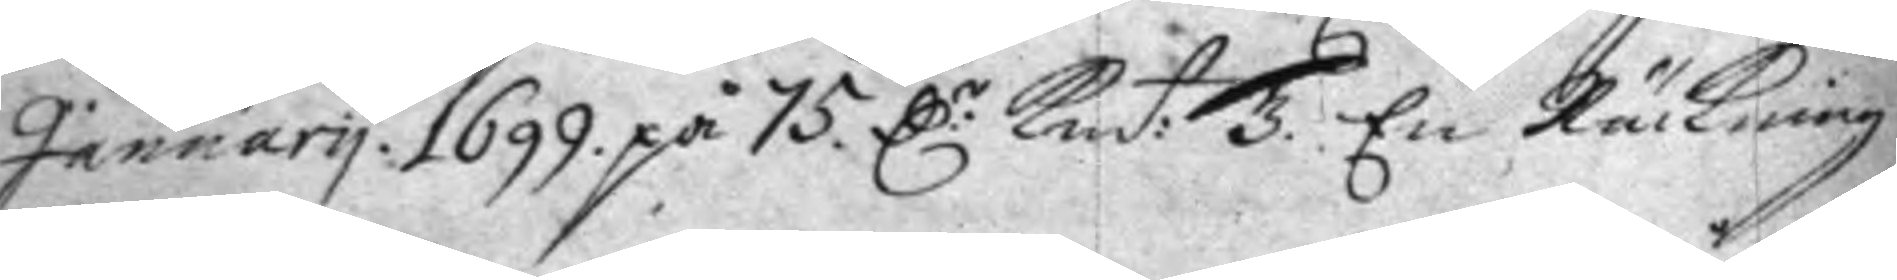January 1699 på 75 C:r Kmt: 3. En Räckning
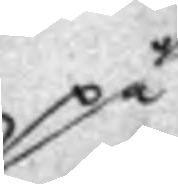på
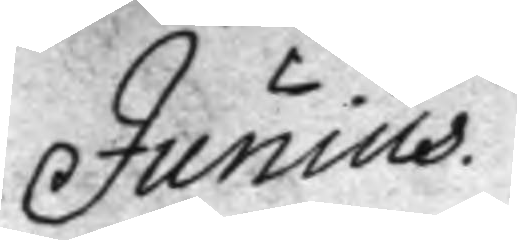Junius
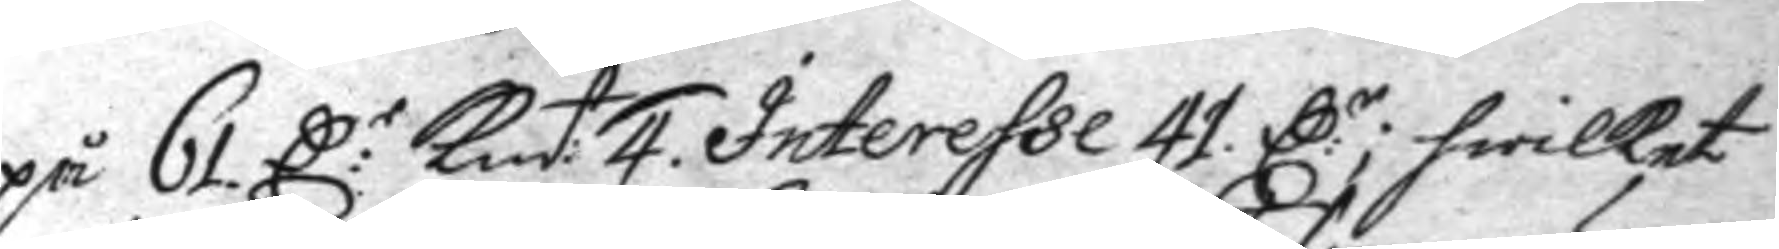på 61 C:r Kmt: 4. Interesse 41 C:r; hwilket
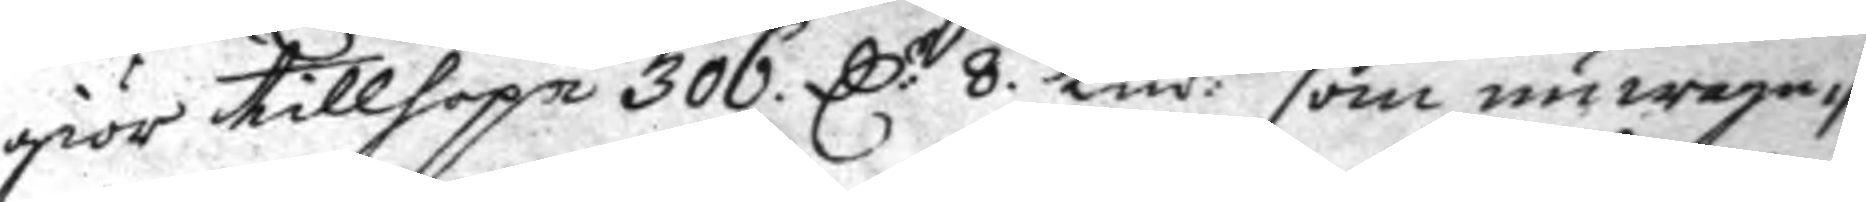giör tillhopa 306 C:r 8. Kmt. som nu wagn¬
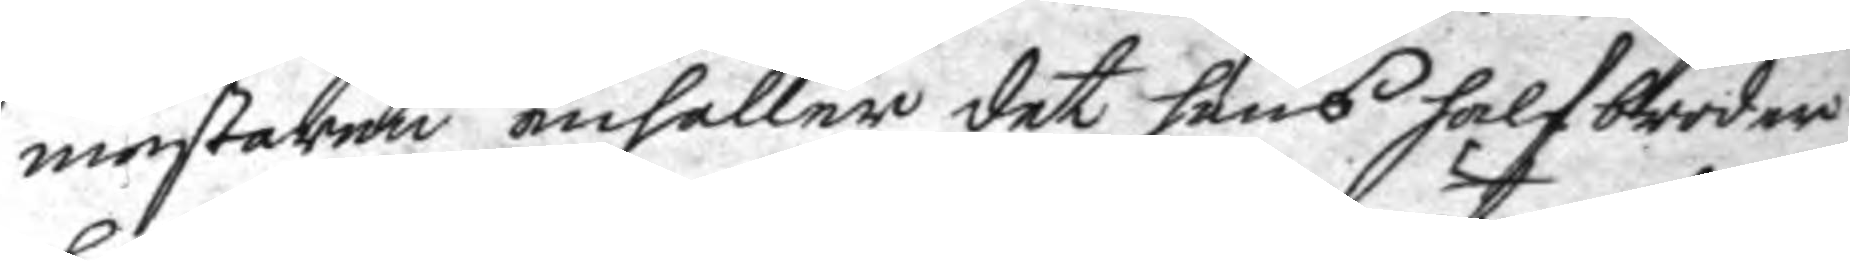mestaren anhåller det hans halfbroder
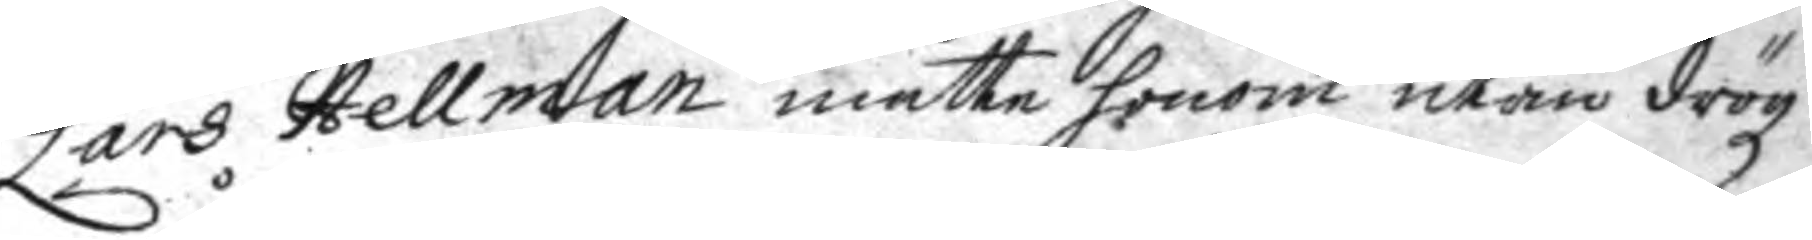Lars Hellman måtte honom utan drögz¬
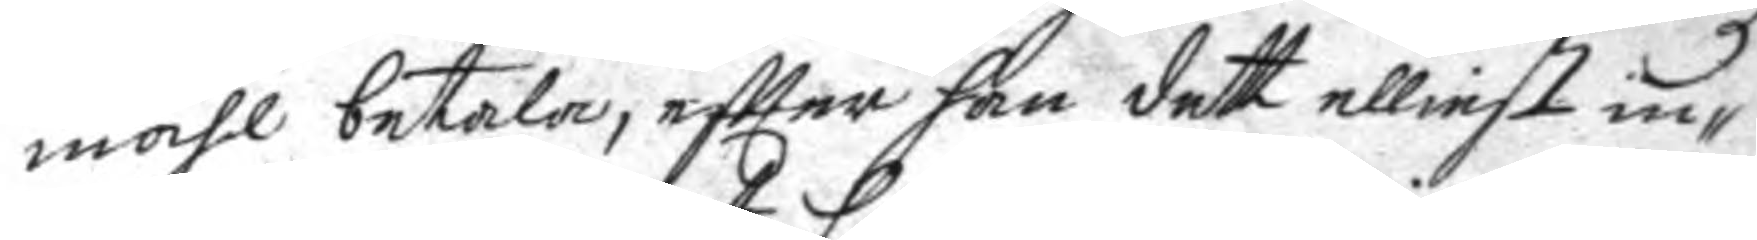måhl betala, eftter han dett elliest in¬
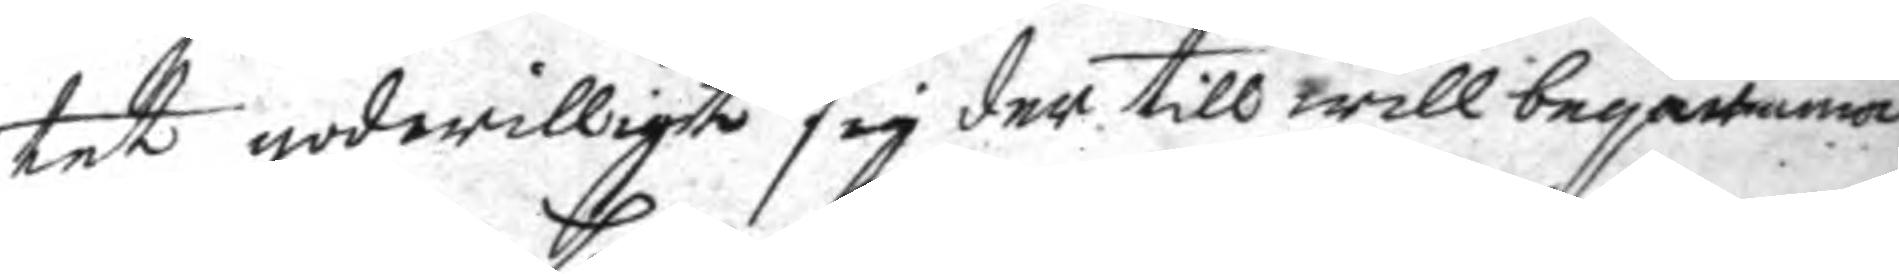tet godwilligt sig der till will beqwäma.
